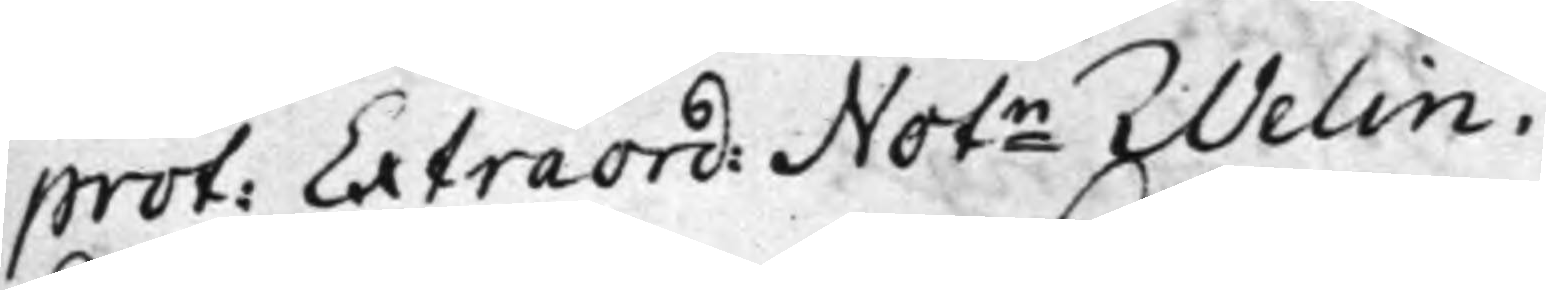prot: Extraord: Notn Welin.
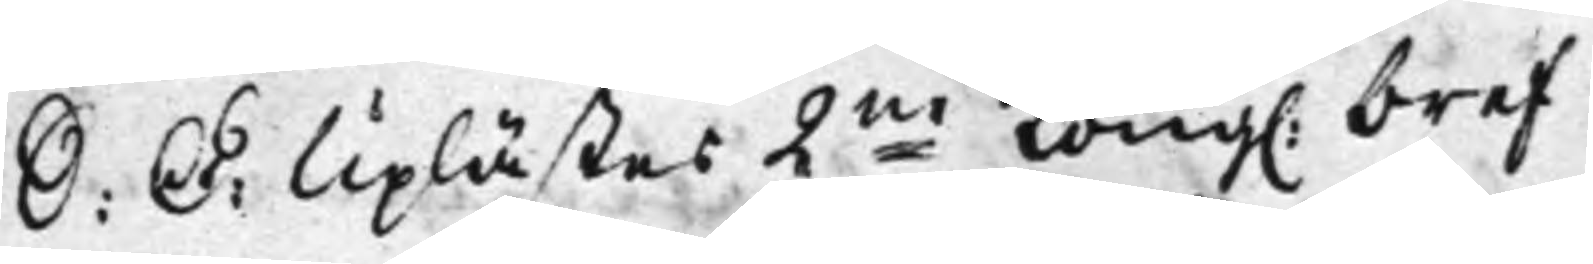S: D: Uplästes 2ne Kong. bref
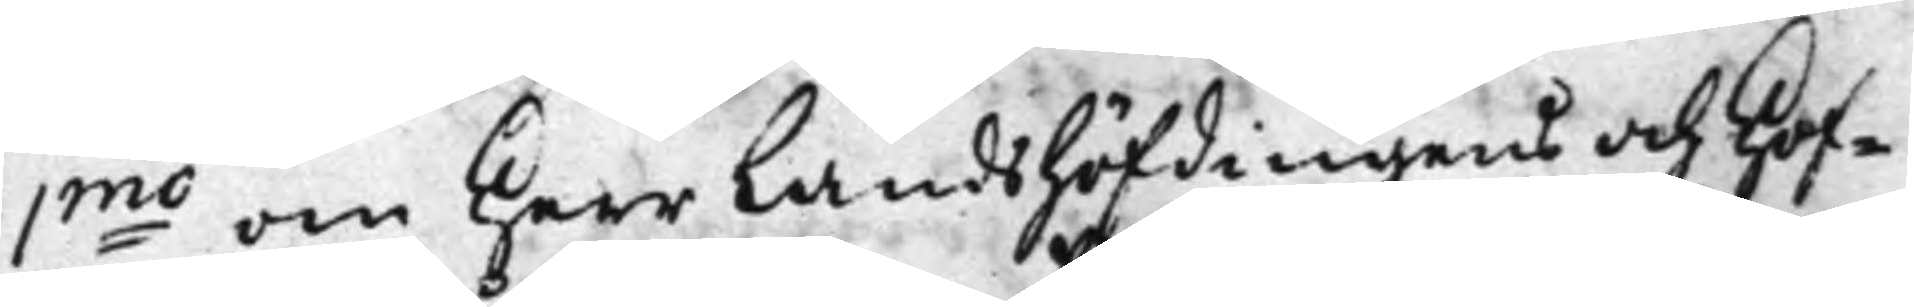1mo om Herr Landshöfdingens och Hof¬
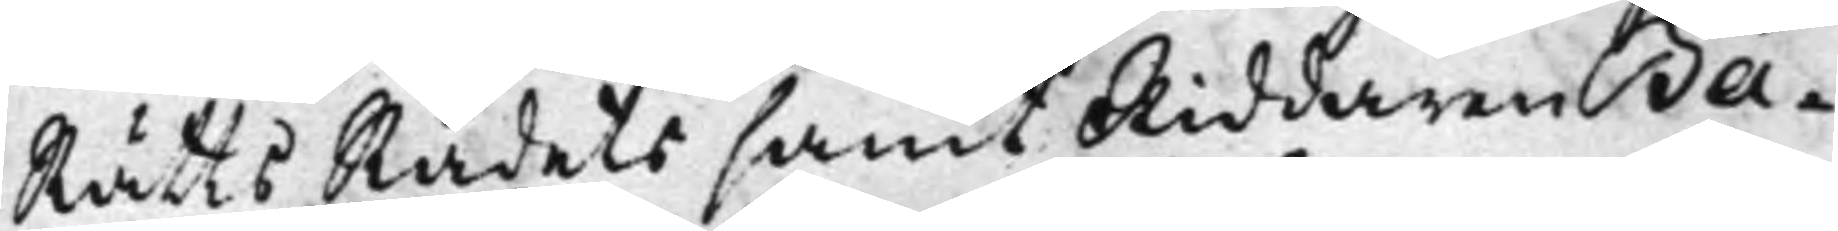RättsRådets samt Riddaren Ba¬
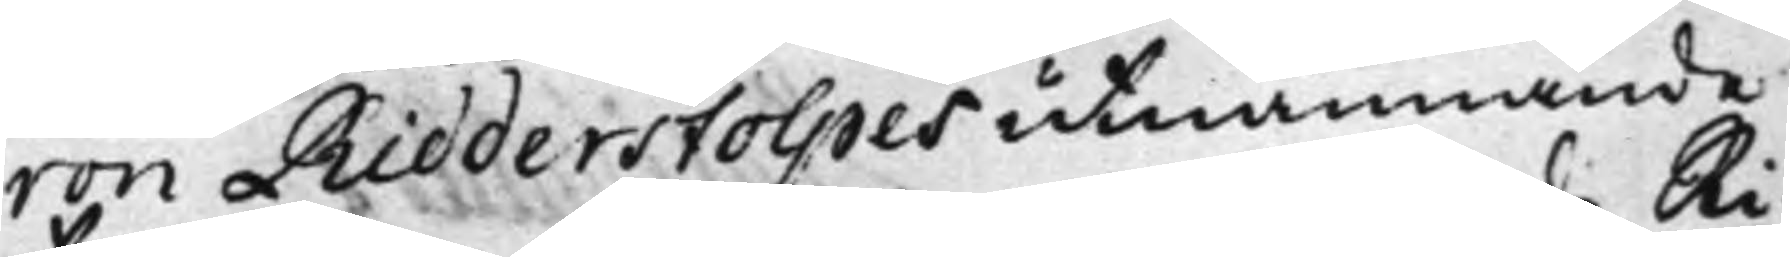ron Ridderstolpes utnämnande
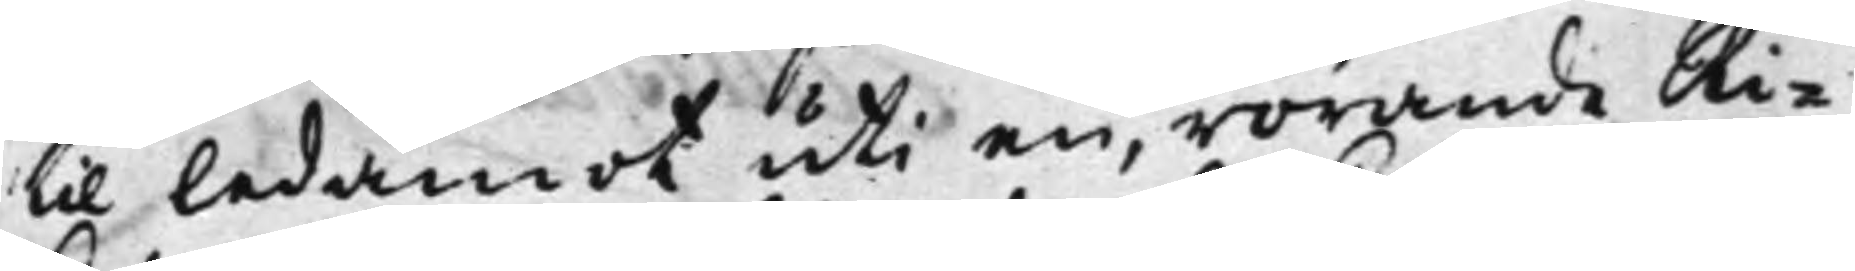til ledamot uti en, rörande Ri¬
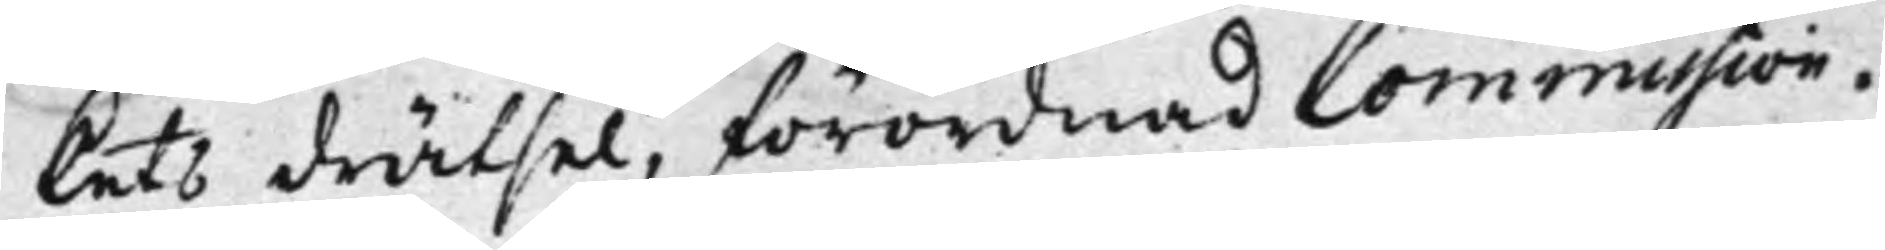kets drätsel, förordnad Commission.
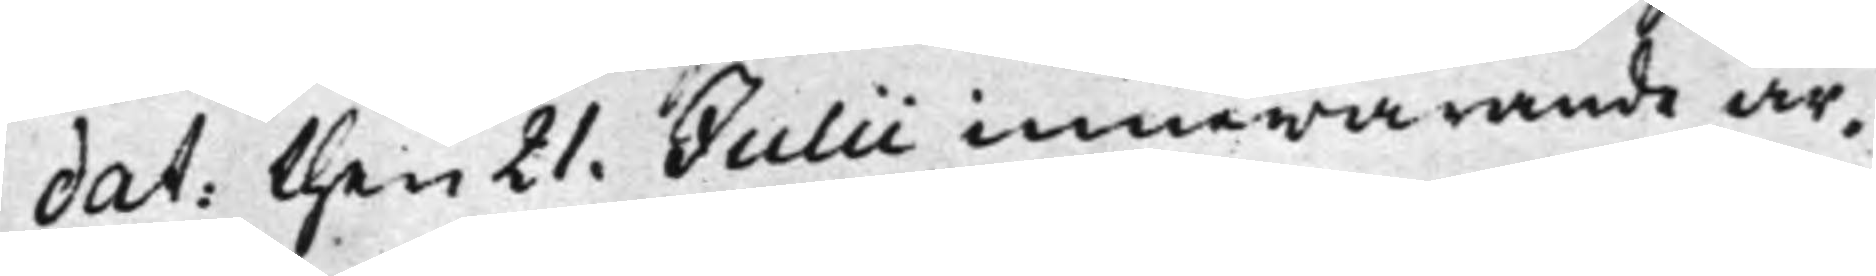dat: then 21. Julii innewarande år.
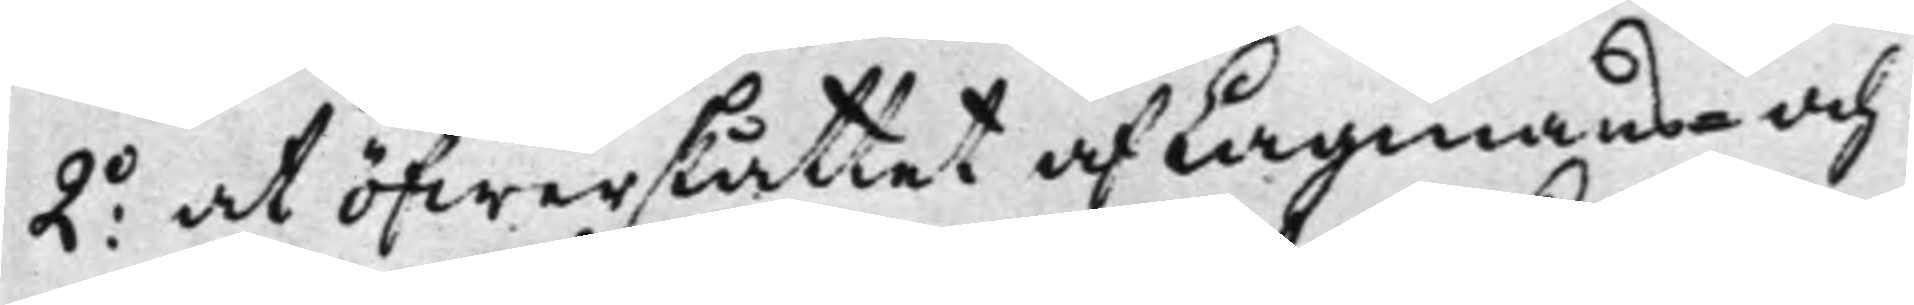2o: at öfwerskåttet af Lagmans- och
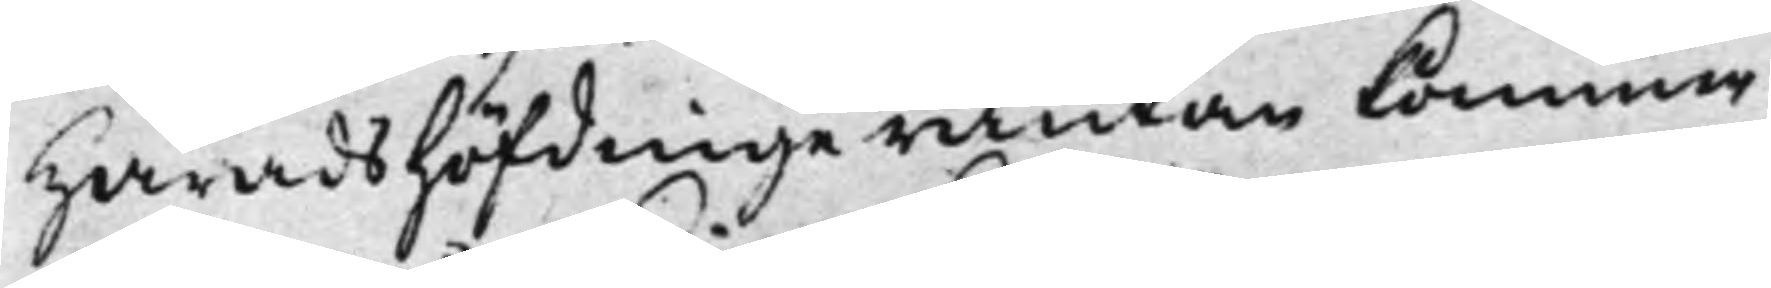Häradshöfdingeräntan kommer
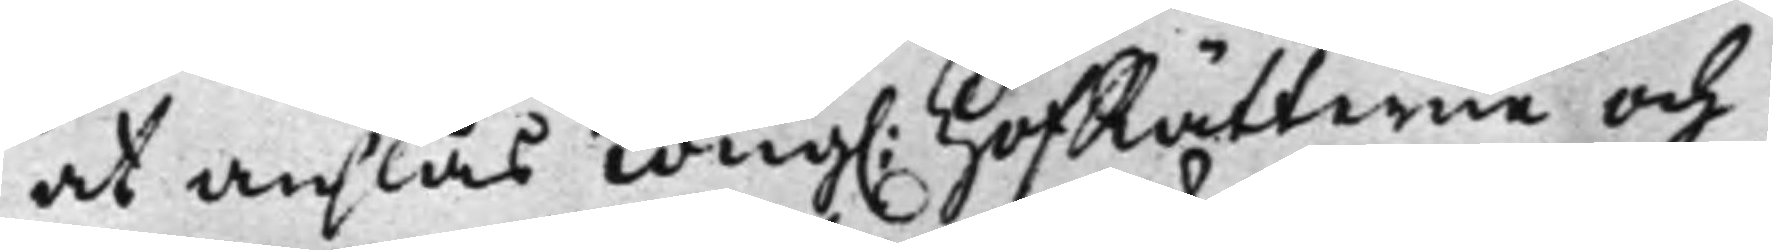at anslås Kong. HofRätterne och
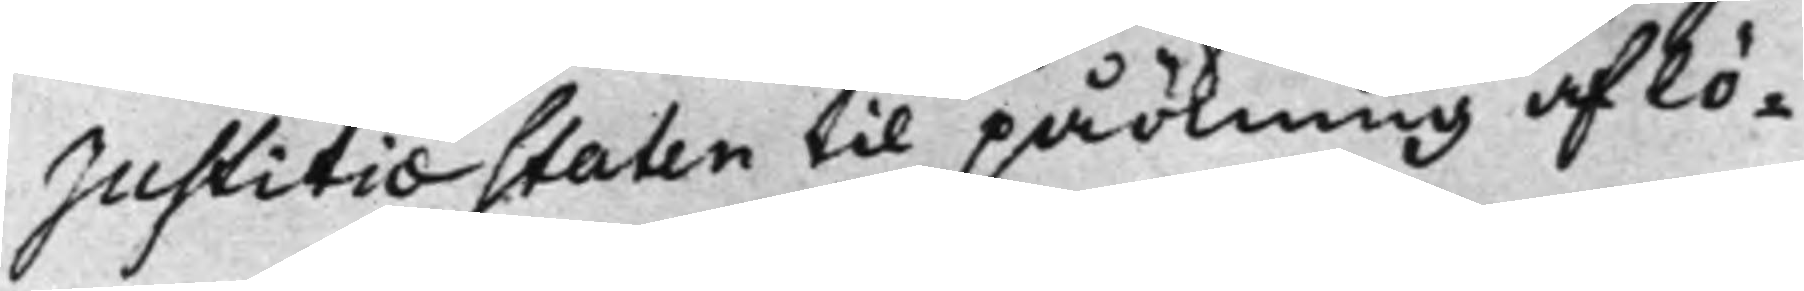Justitiæstaten til påökning af lö¬
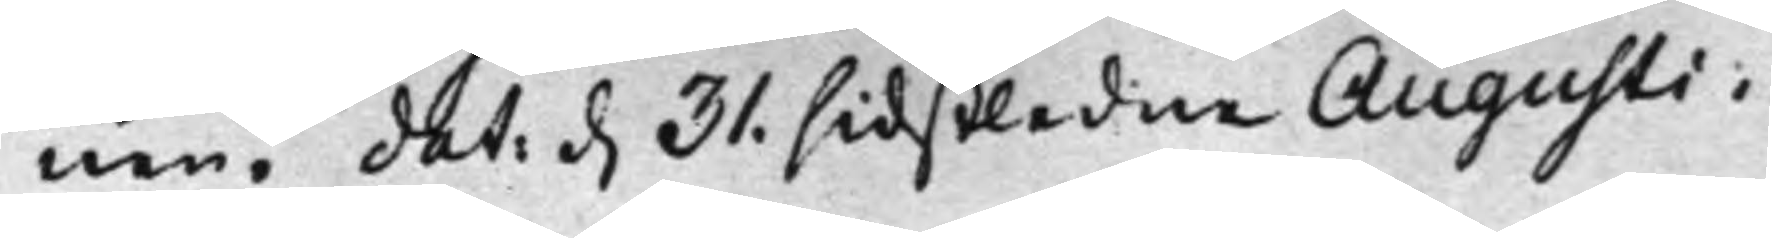nen, dat: d. 31. sidstledne Augusti.
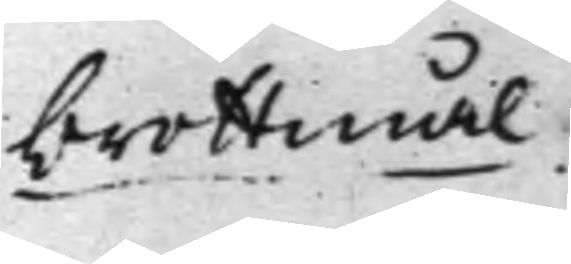brottmål.
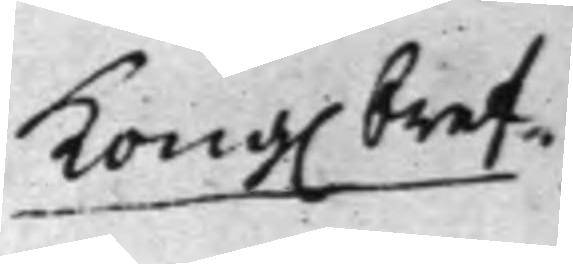Kong. bref.
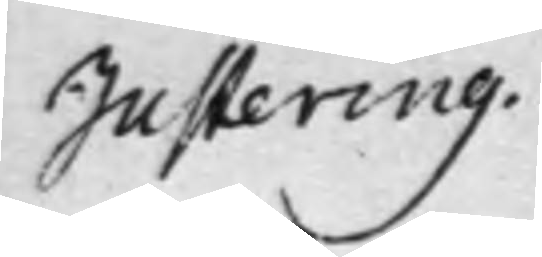Justering.
